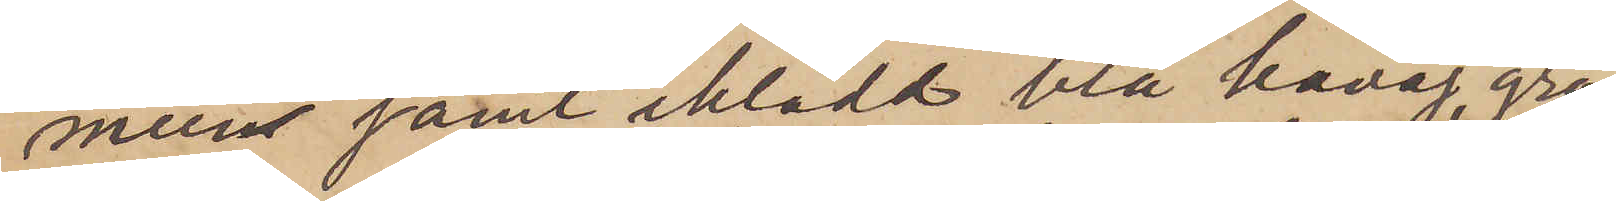mun samt iklädd blå kavaj, grå
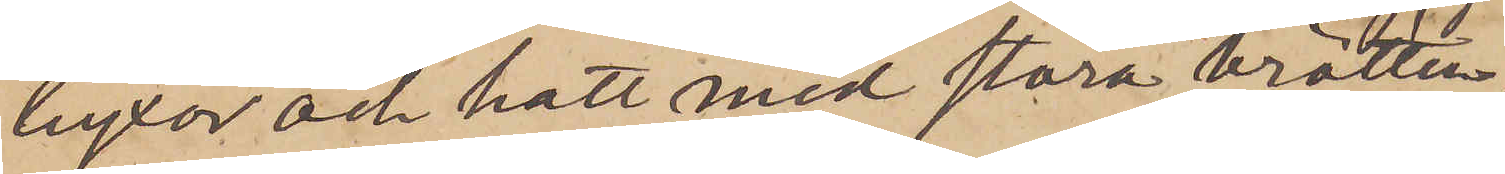byxor och hatt med stora brätten;
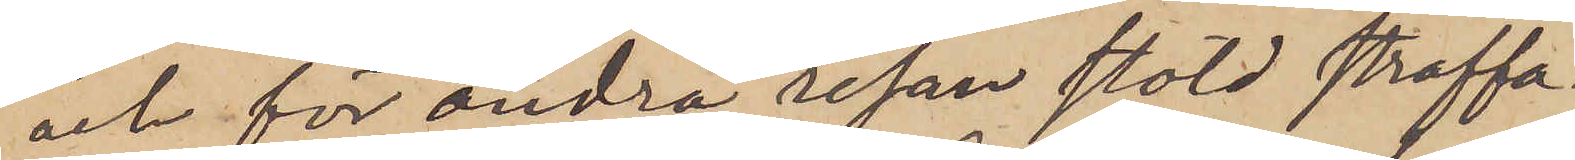och för andra resan stöld straffa¬
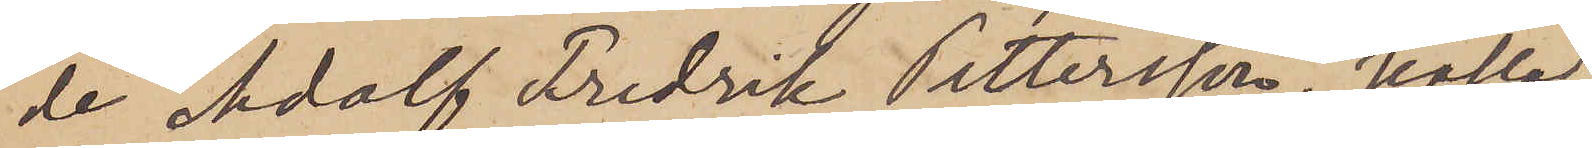de Adolf Fredrik Pettersson, kallad
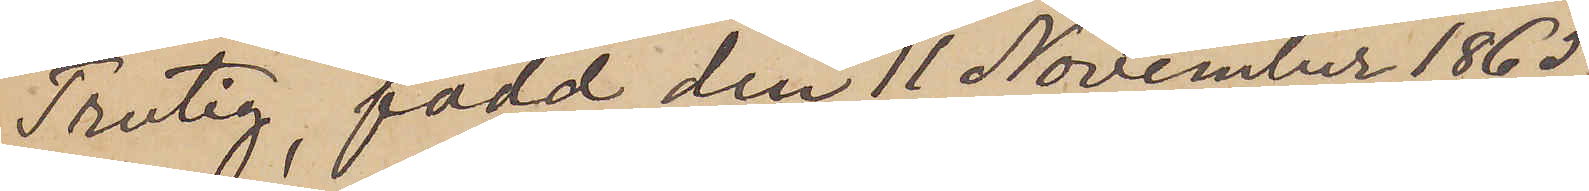Trutig, född den 11 November 1865,
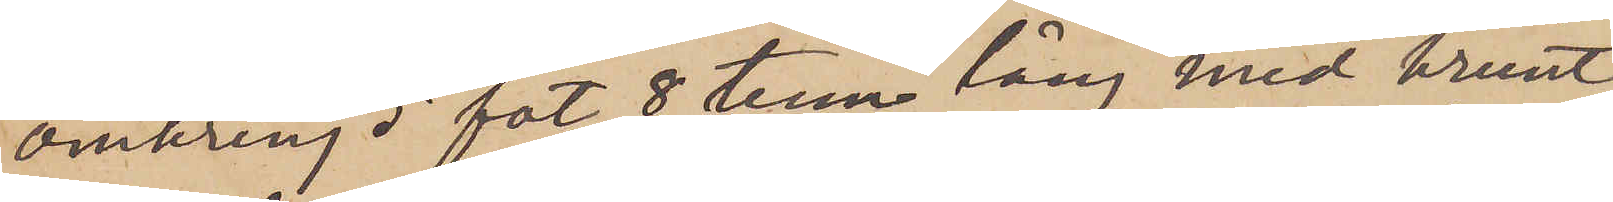omkring 5 fot 8 tum lång med brunt
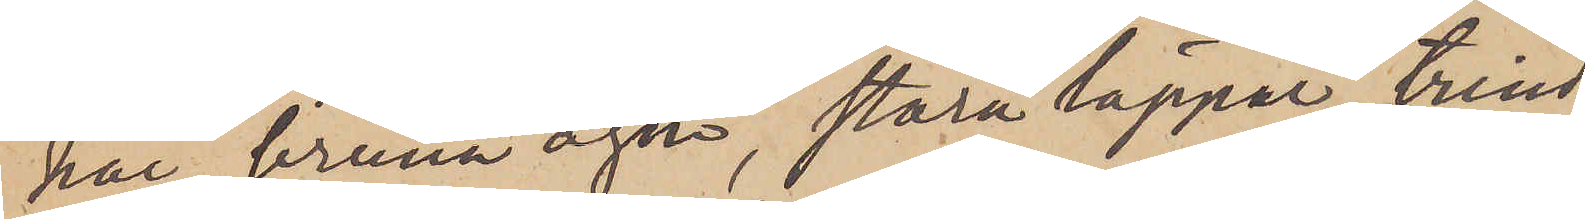hår, bruna ögon, stora läppar, trind¬
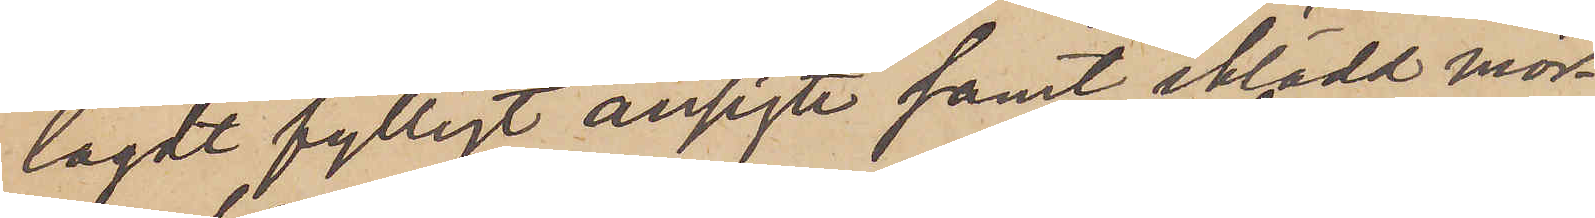lagdt fylligt ansigte samt iklädd mör¬
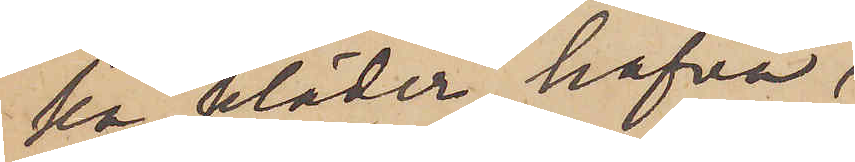ka kläder, hafva,
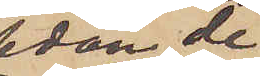sedan de
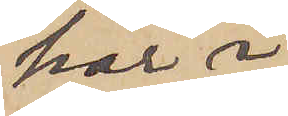här i
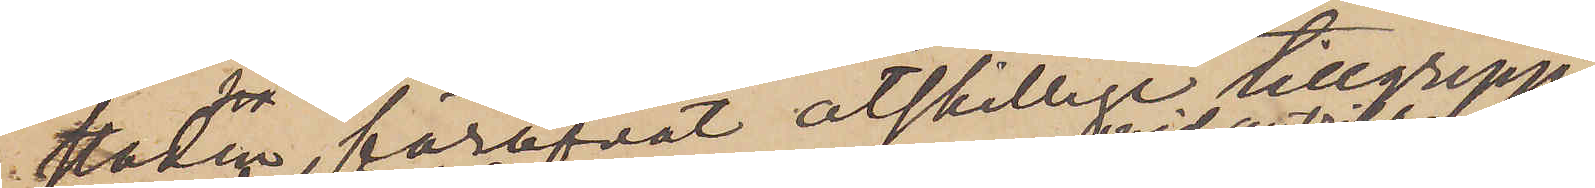staden, föröfvat åtskillige tillgrepp
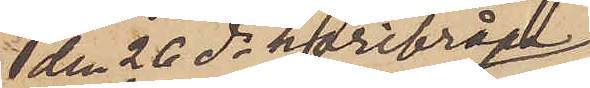den 26 ds härifrån
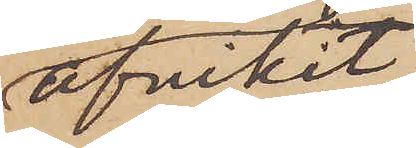afvikit.
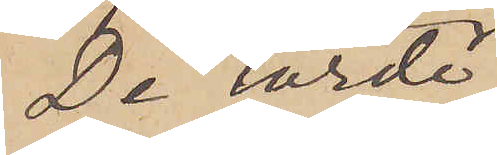De torde
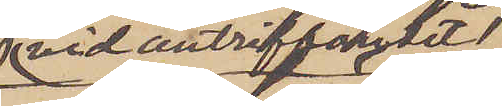vid anträffandet
